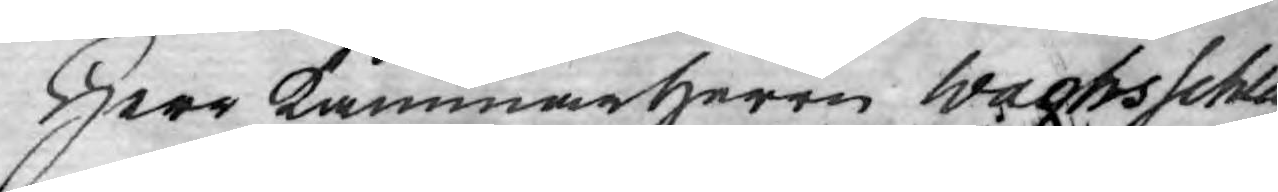Herr kammarherrn Wachsschla¬
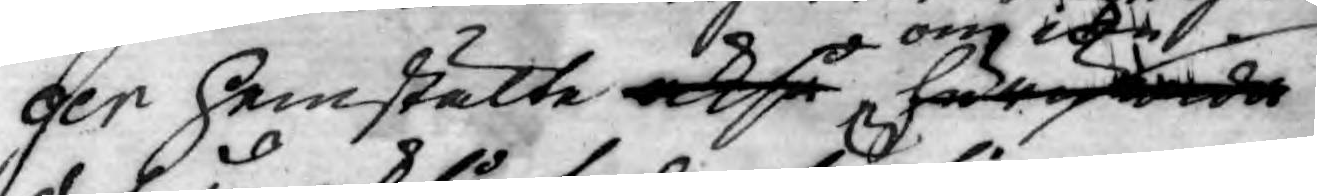ger hemstälte också huruwida
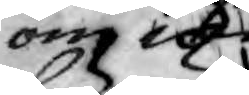om icke
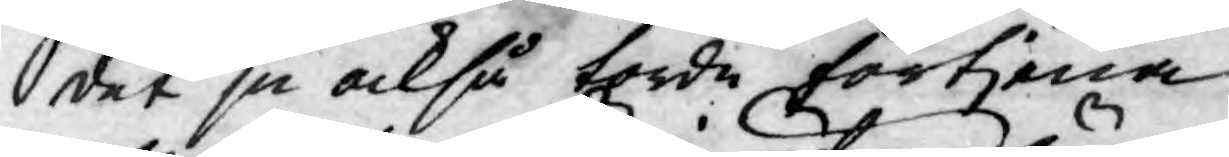det ju också torde förtjena
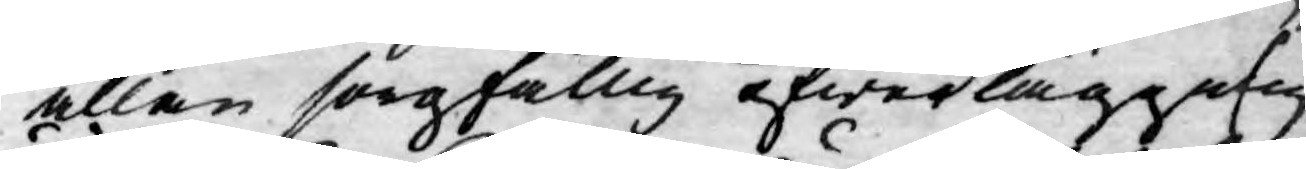allan sorgfällig öfwerläggning,
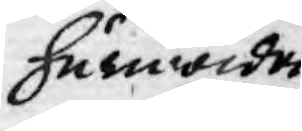huruwida
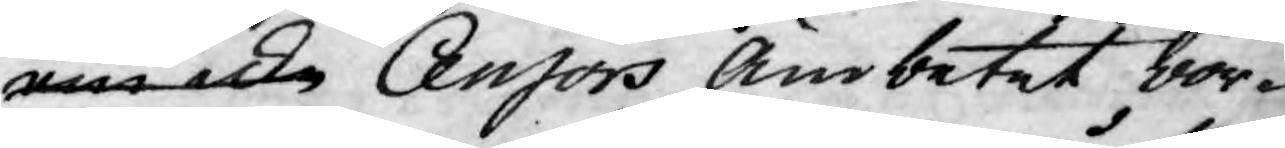om icke Censors Ämbetet bor¬
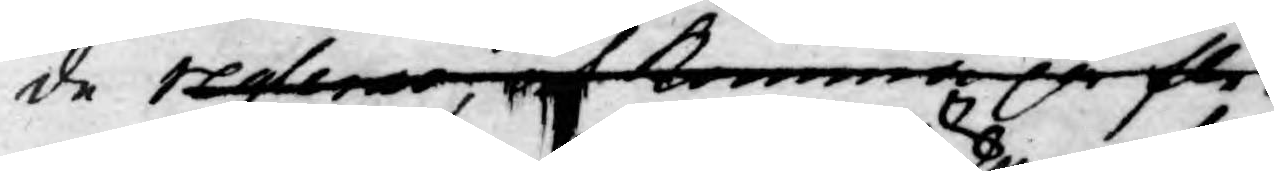de reglera, och komma på fle¬
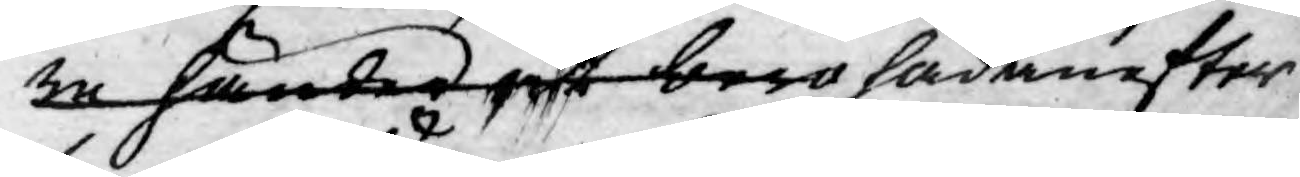re händer och bero hädanefter
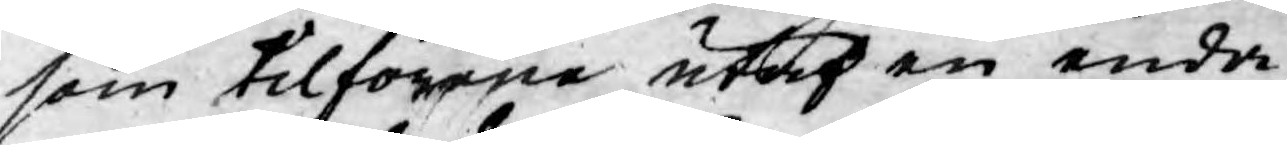som tilförene utaf en enda
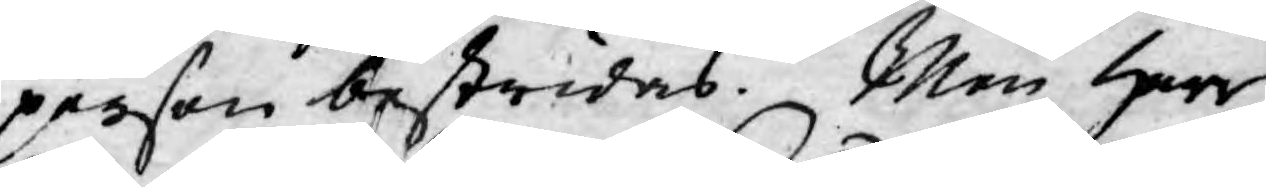person bestridas. Men Herr
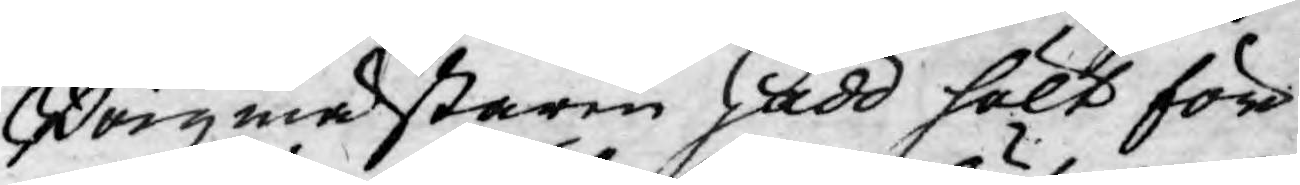Borgmästaren Gadd hölt före
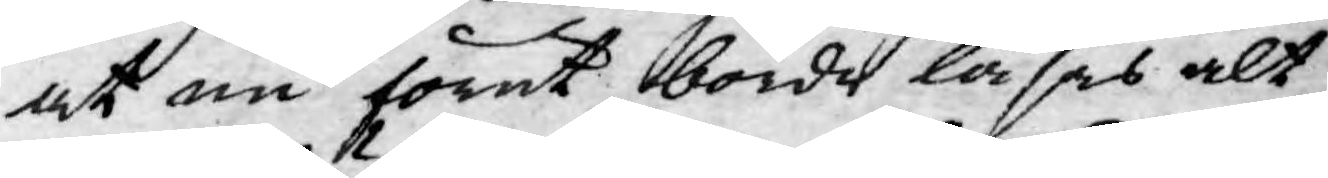at nu förut borde läsas alt
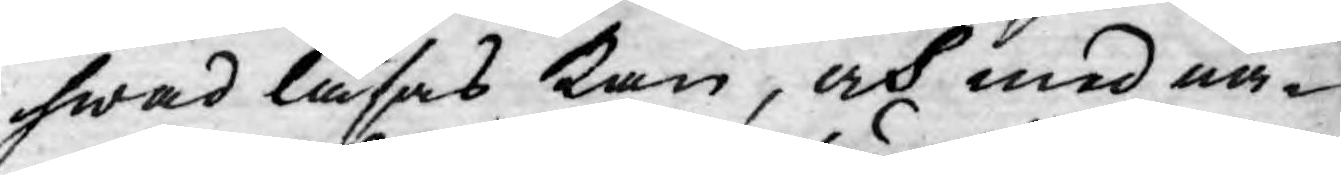hwad läsas kan, och med nå¬
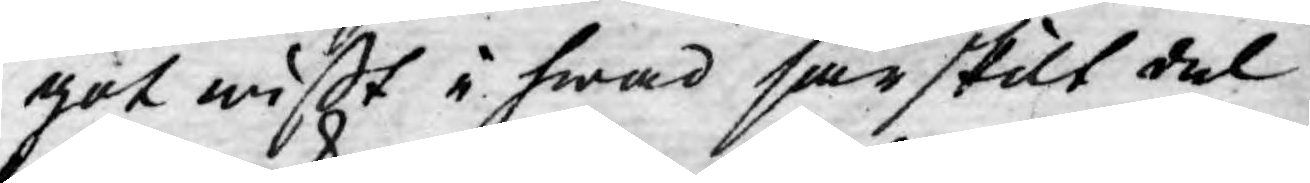got wißt i hwad särskilt del
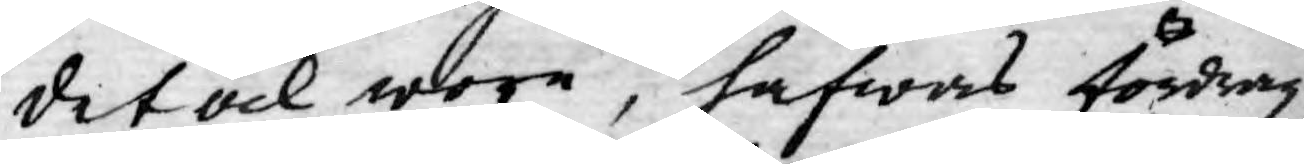det ock wore, hafwas fördrag,
